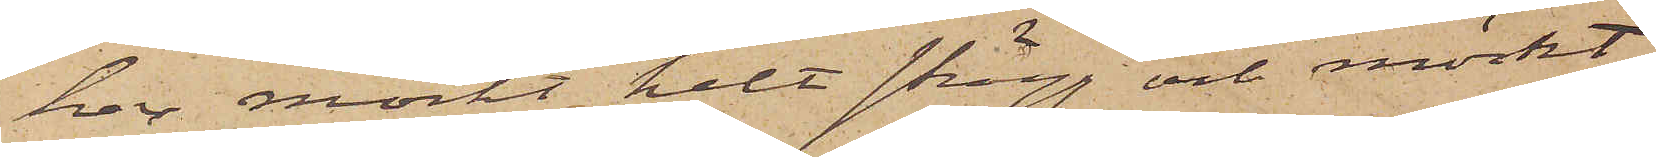har mörkt helt skägg och mörkt
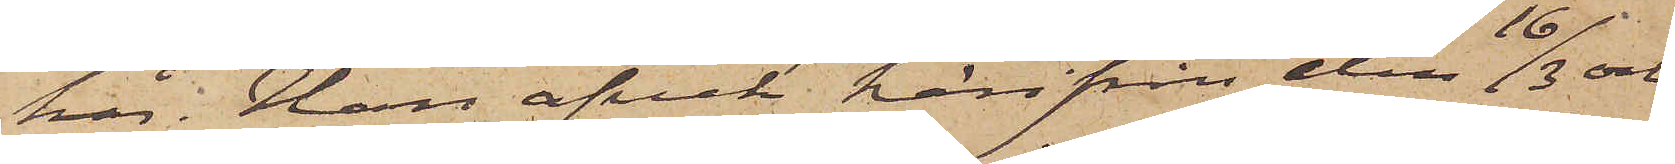hår. Han afvek härifrån den 16/3 och
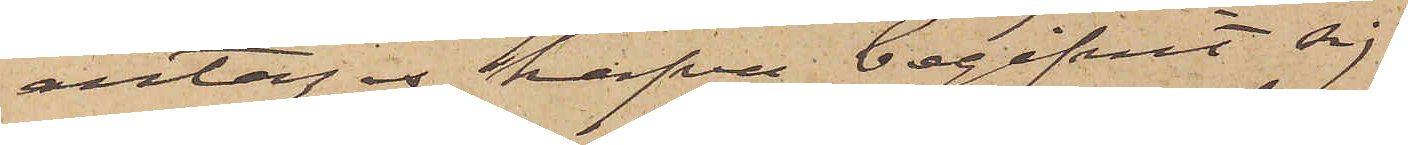antages hafva begifvit sig
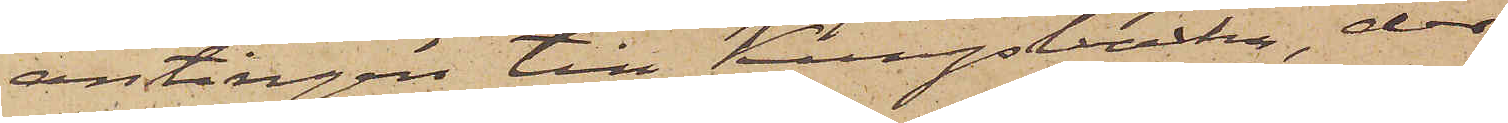antingen till Kungsbacka, der
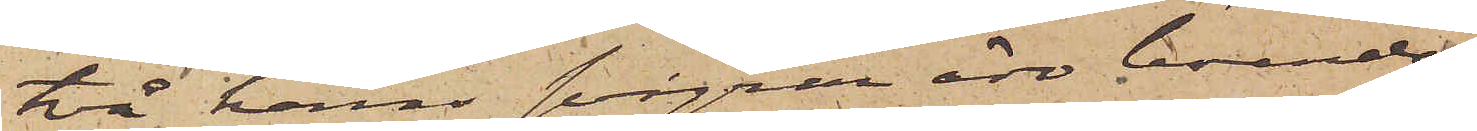två hans svågrar äro boende
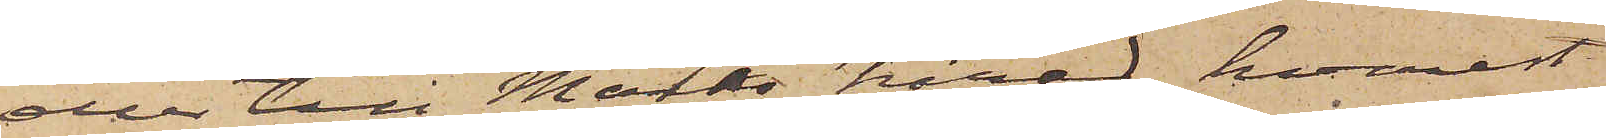eller till Marks härad, hvarest
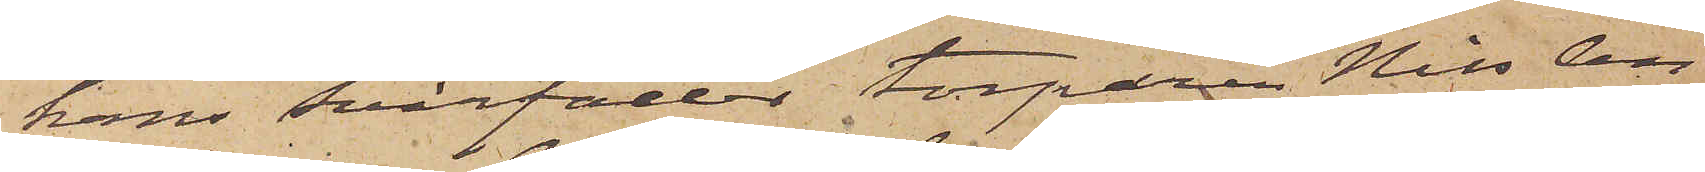hans svärfader torparen Nils An¬
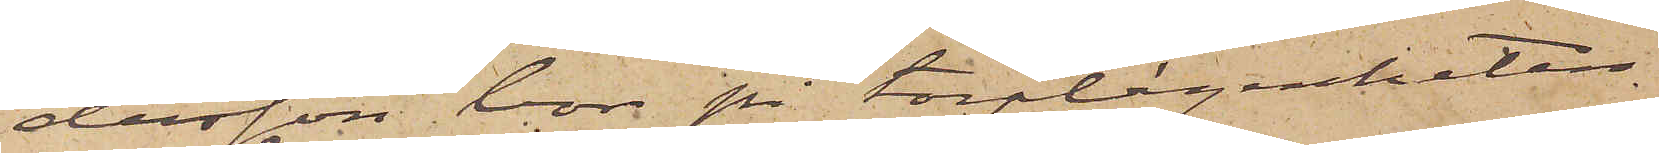dersson bor på torplägenheten
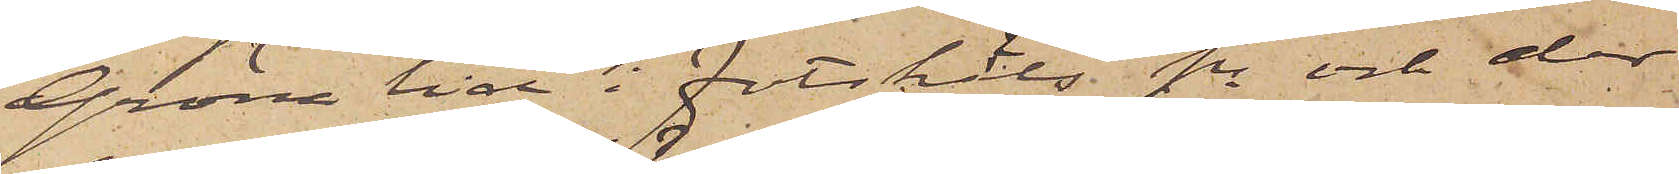Gröna Lid i Fotskäls sn och der
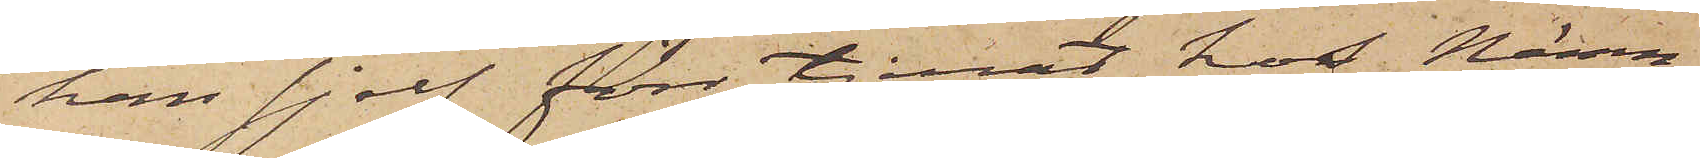han sjelf förr tjenat hos Nämn¬
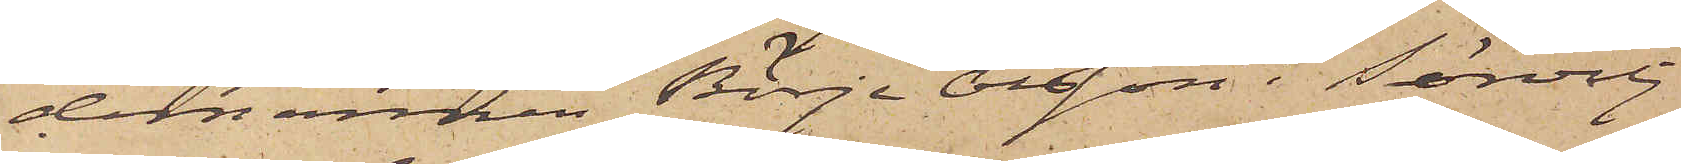demannen Börje Olsson i Sörvilj
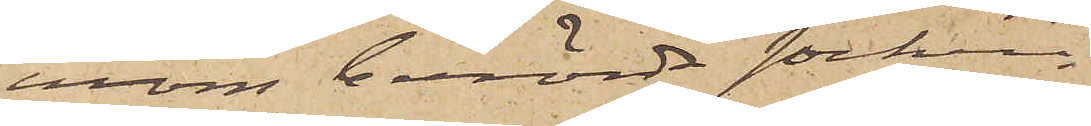inom berörda socken.
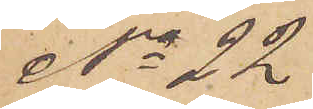No 22
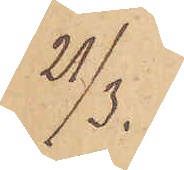21/3.
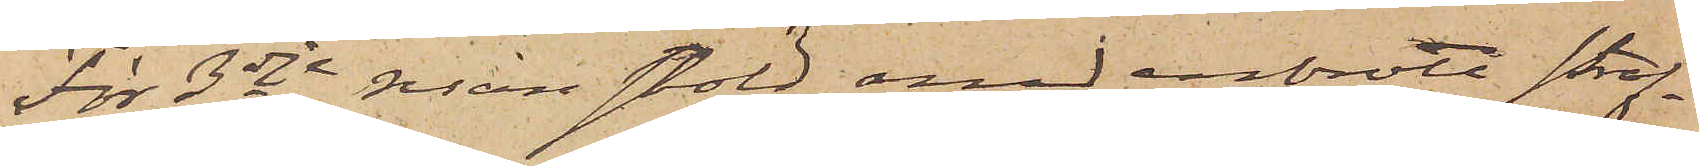För 3dje resan stöld med inbrott straf¬
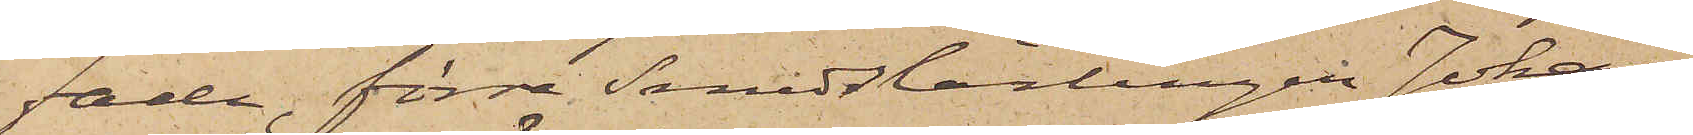fade, förre Smedslärlingen Johan
